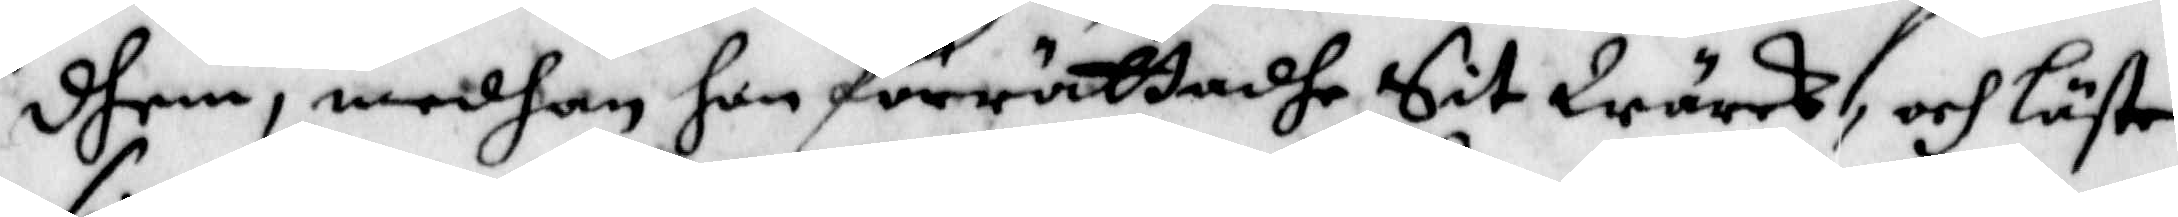dhem, medhan hon förrättadhe Sit Wärck, och Läste
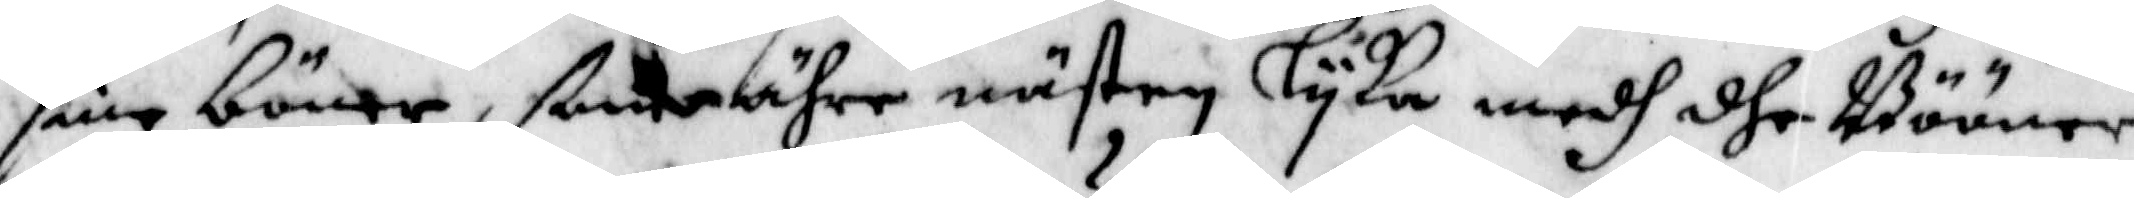sine böner, ßom ähre nästen lyka medh dhe Bööner,
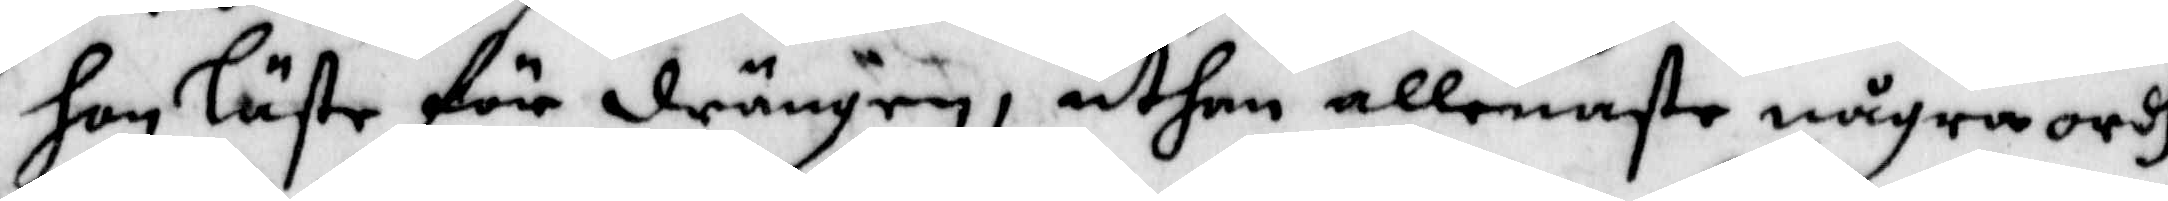hon läste för drängen, uthan allenaste några ordh
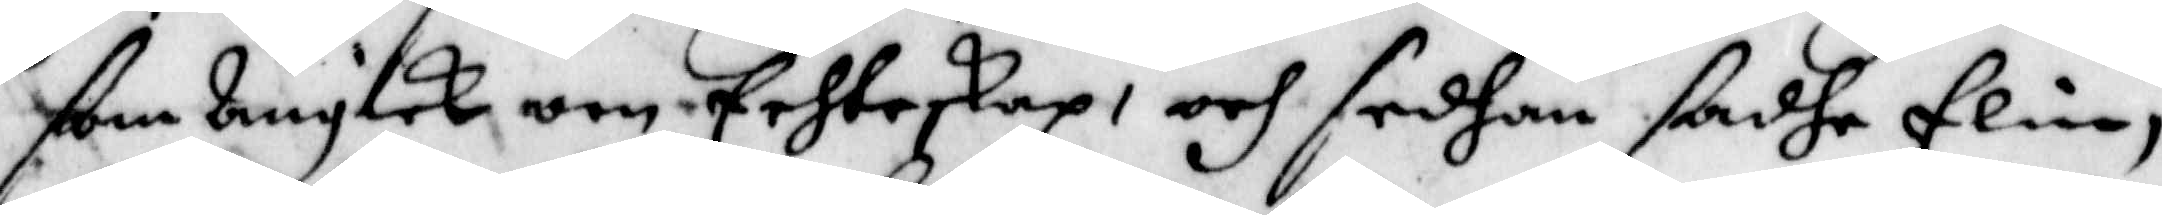som Angick om Echteskap, och sedhan sadhe Elin,
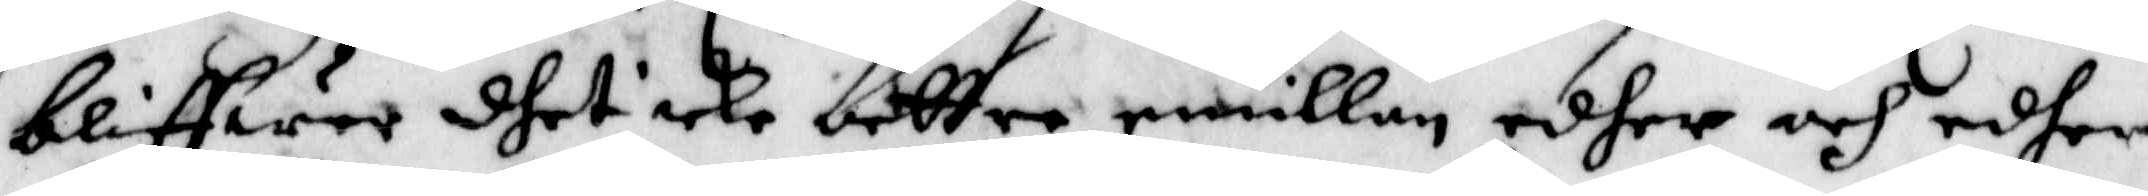bliffwer dhet icke bettre emillan edher och edher
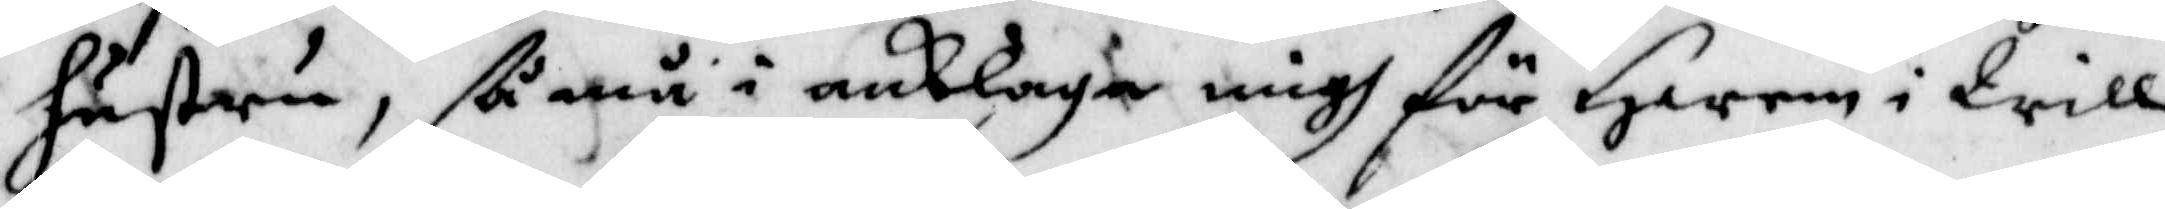hustru, så må i anklaga migh för Hwem i Will
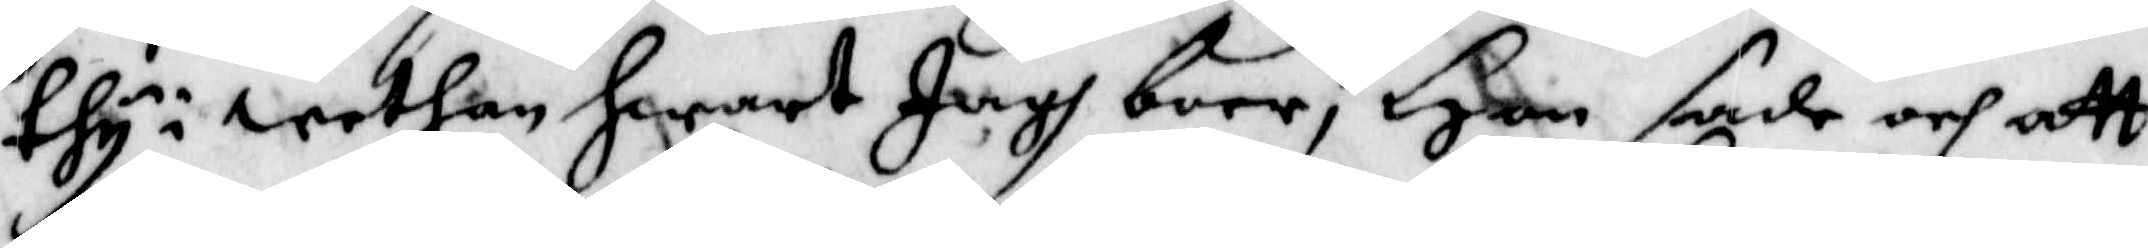thy i wethan hwart Jagh boer, Hon sade och att
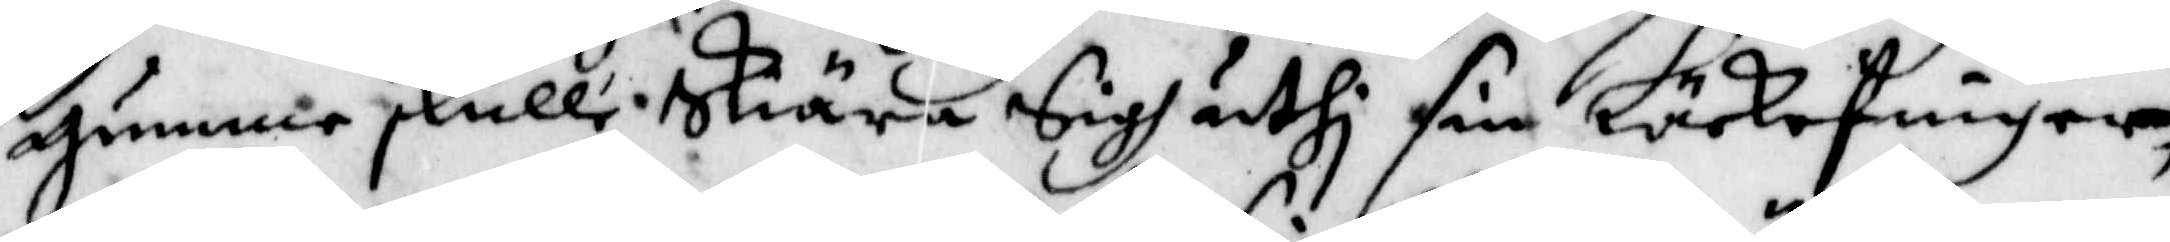gumme skulle Skiära sigh uthi sin Läckefinger,
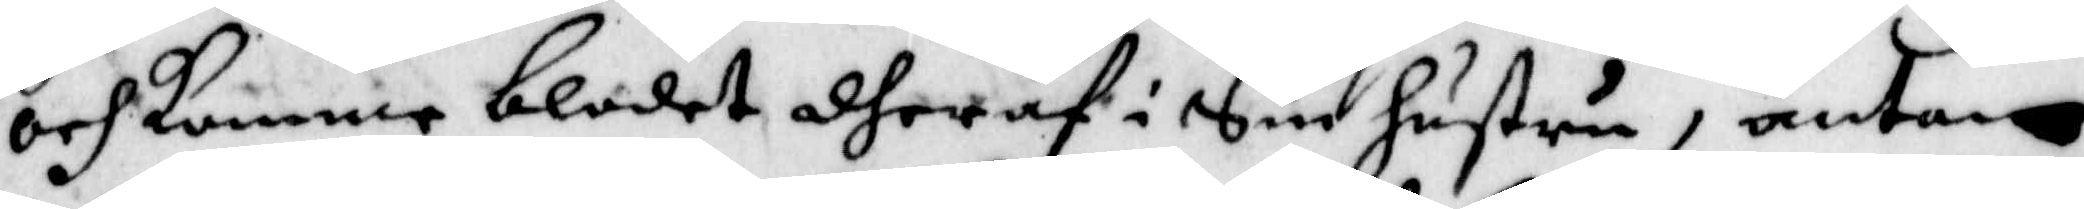och komme blodet dheraf i Sin hustru, äntan
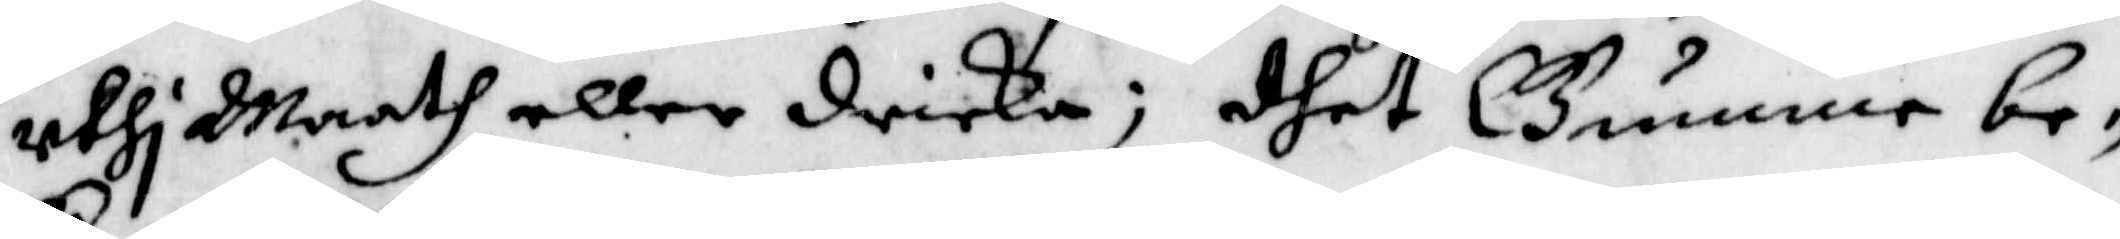uthi Maath eller dricka; dhet Gunne be¬
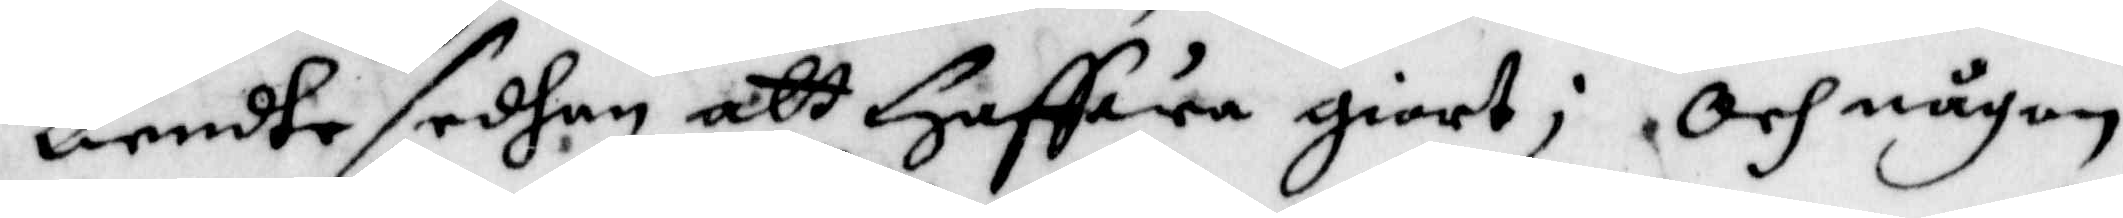kiendhe sedhan att HHffwa giort; Och någon
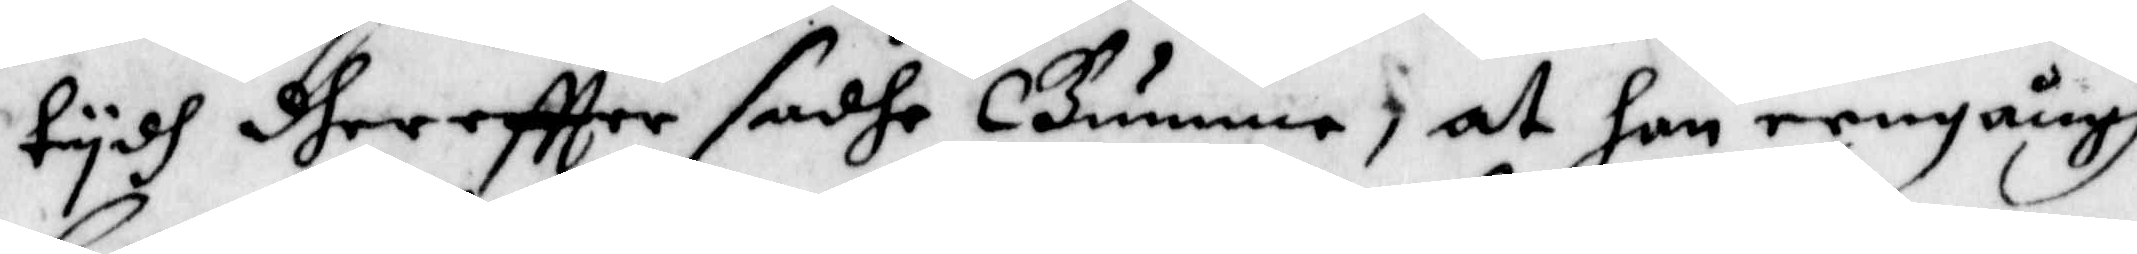tydh dhereftter sadhe Gumme, at han engångh
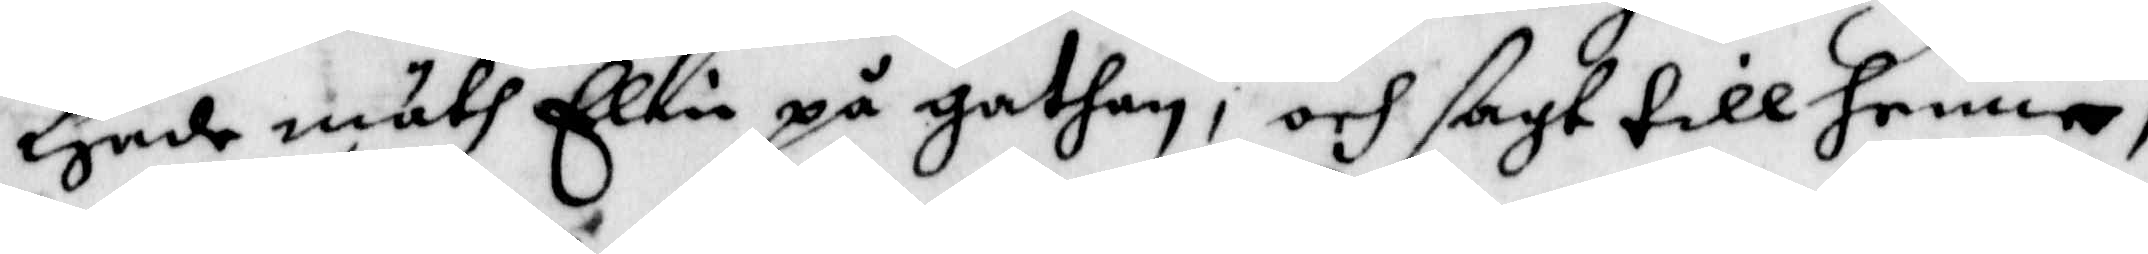Hade möth Elin på gathan, och ßagt till henne,
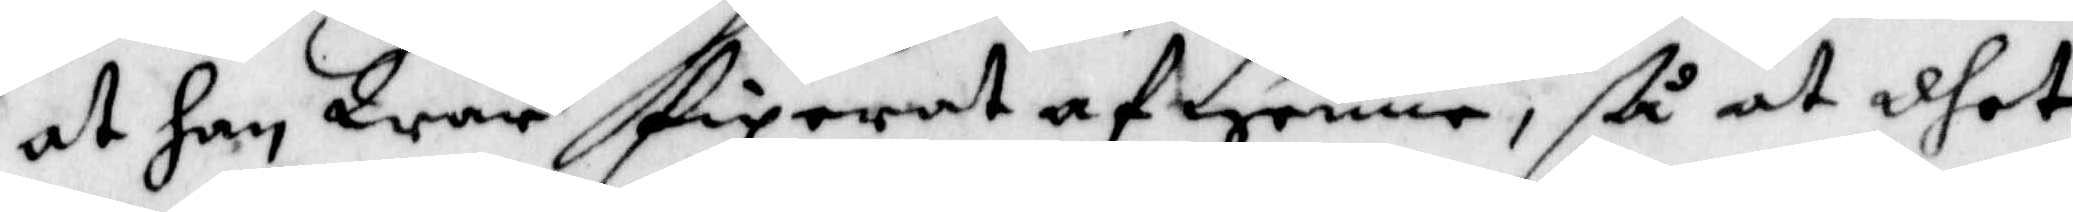at han War fixerat af henne, Så at dhet
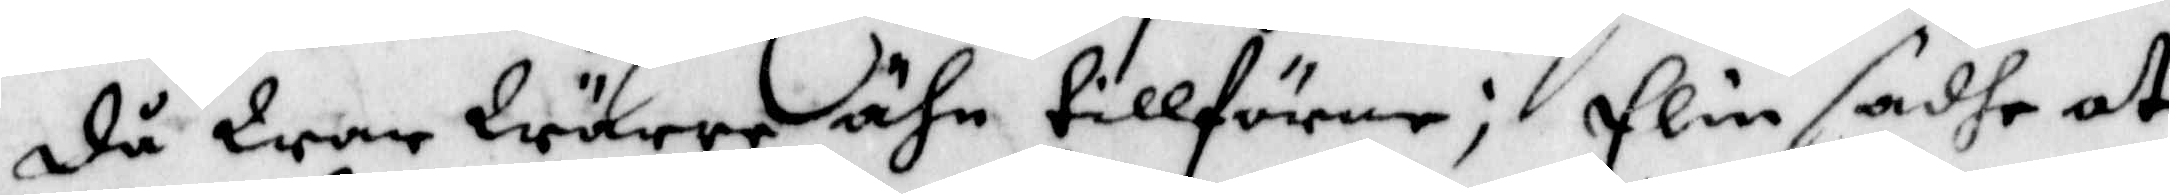då War Wärre ähn tillförne; Elin sadhe at
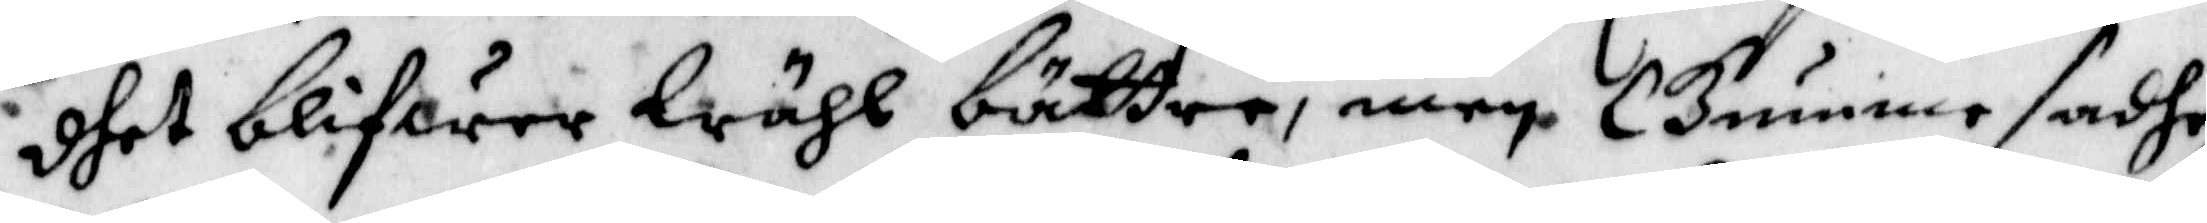dhet blifwer Wähl bättre, men Gumme sadhe
